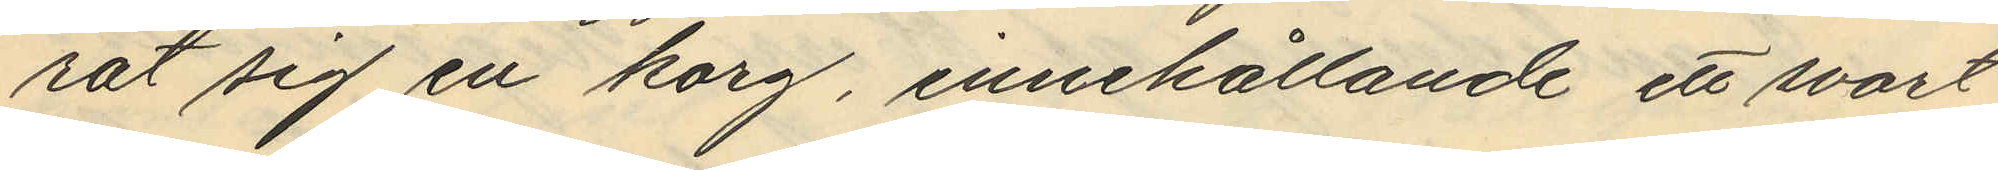rat sig en korg, innehållande ett svart
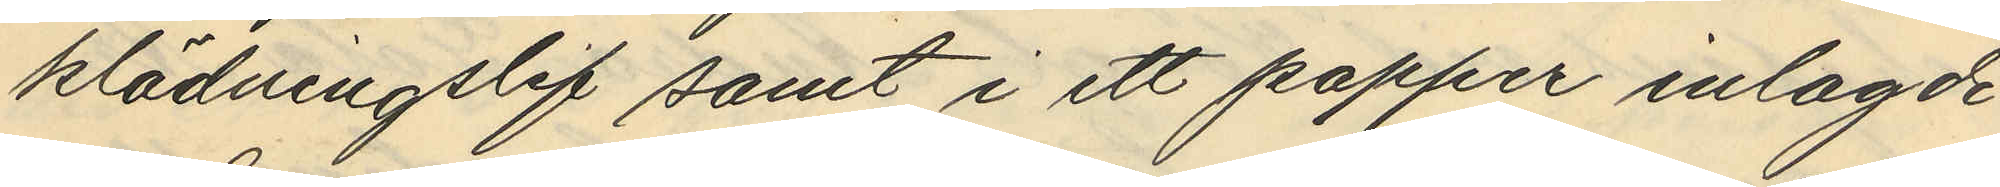klädningslif samt i ett papper inlagde
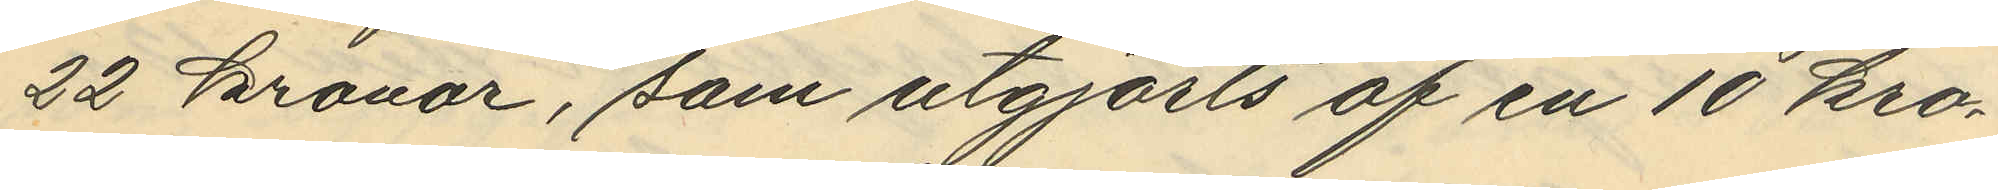22 kronor, som utgjorts af en 10 kro¬
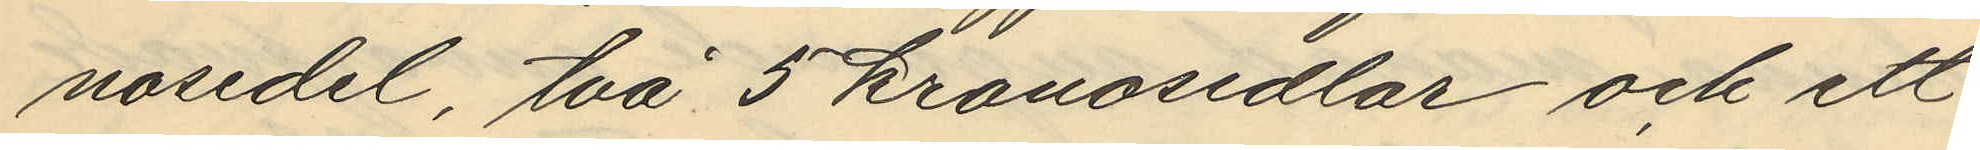nosedel, två 5 kronosedlar och ett
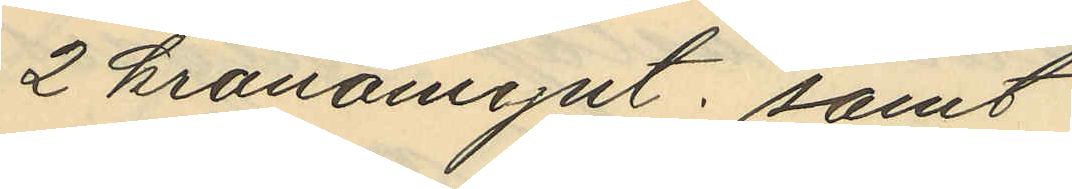2 kronomynt; samt
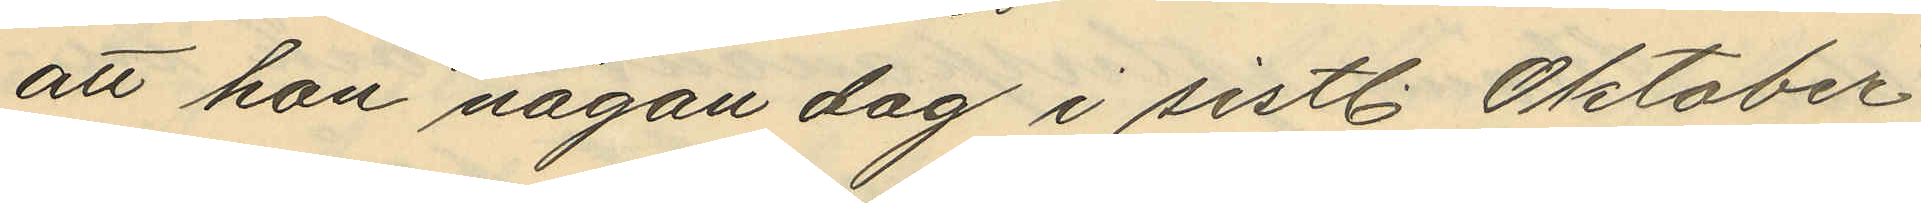att hon någon dag i sistl. Oktober
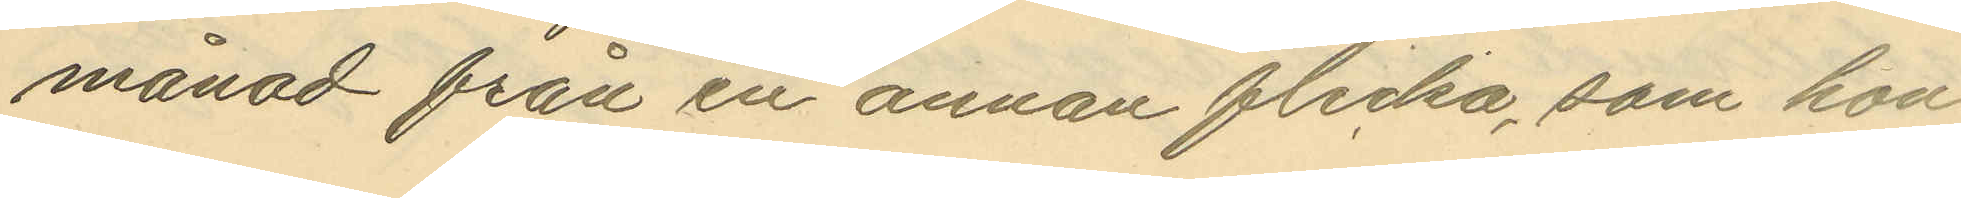månad från en annan flicka, som hon
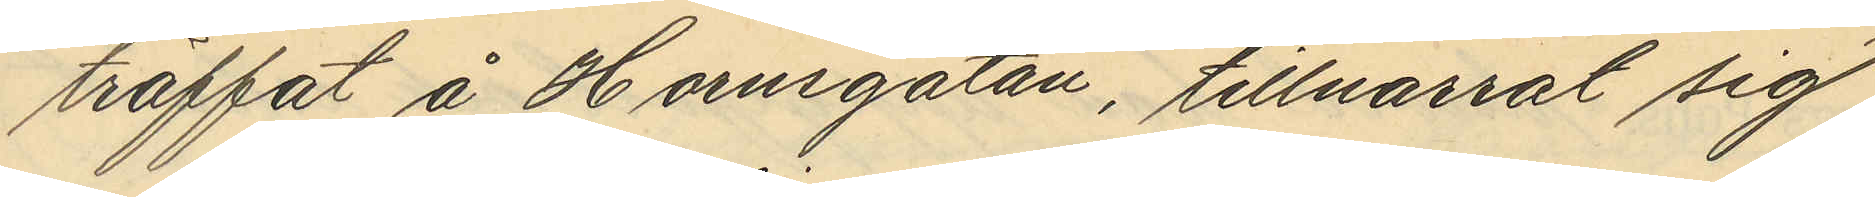träffat å Hornsgatan, tillnarrat sig
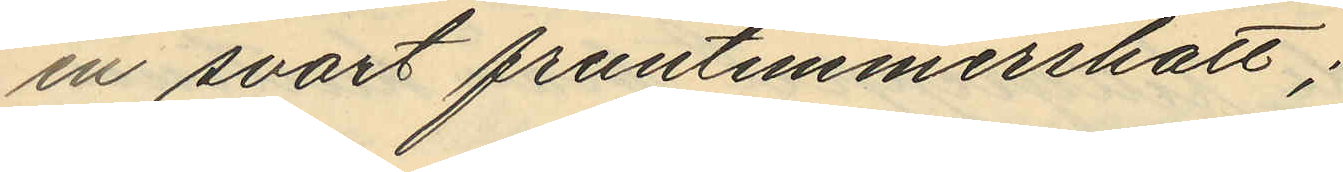en svart fruntimmershatt;
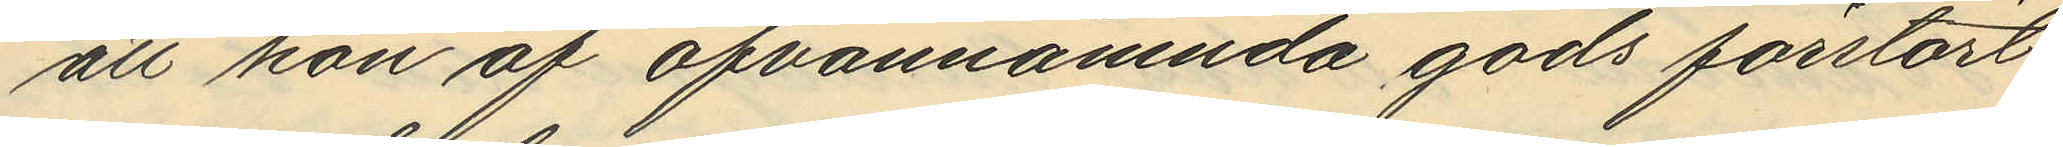att hon af ofvannämnda gods förstört
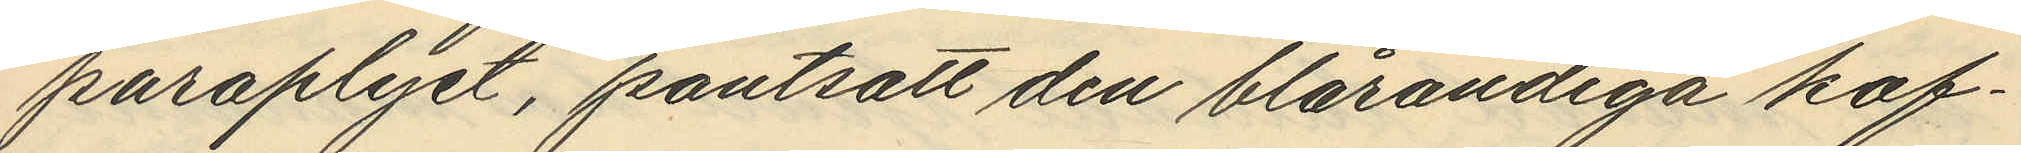paraplyet, pantsatt den blårandiga kof¬
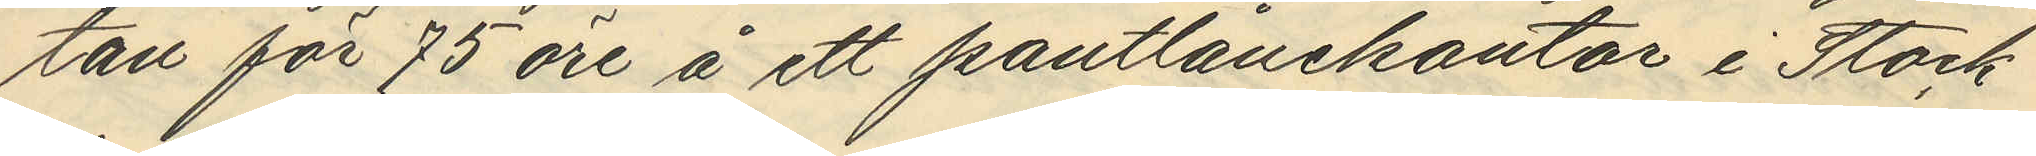tan för 75 öre å ett pantlånekontor i Stock
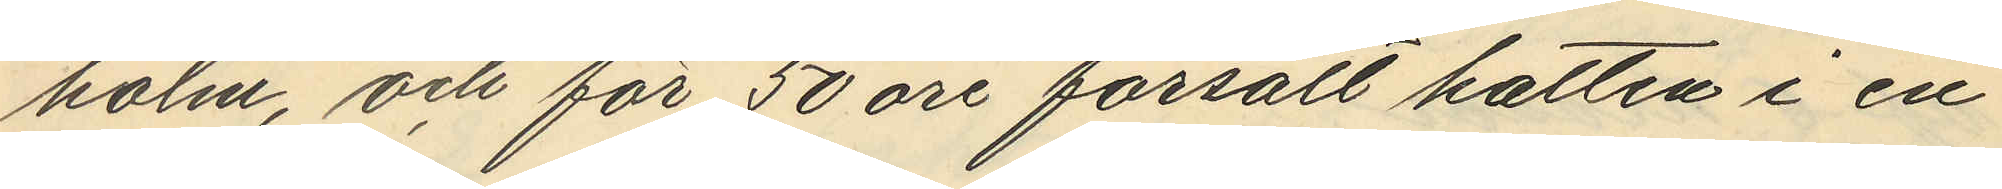holm, och för 50 öre försålt hatten i en
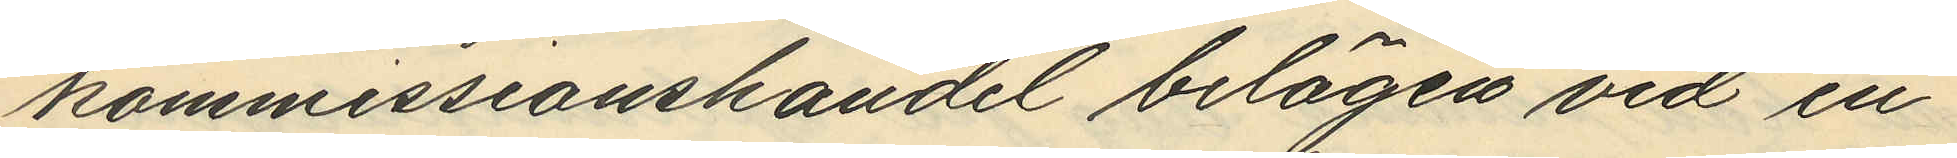kommissionshandel belägen vid en
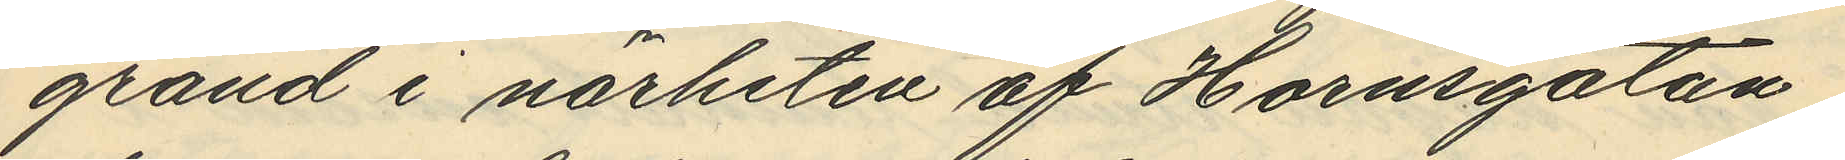gränd i närheten af Hornsgatan
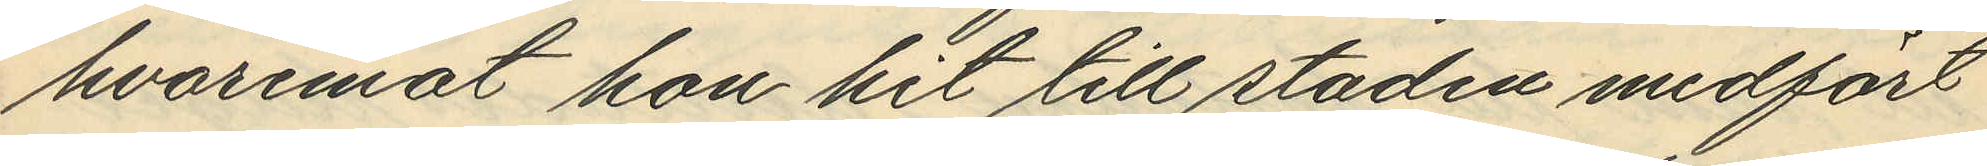hvaremot hon hit till staden medfört
